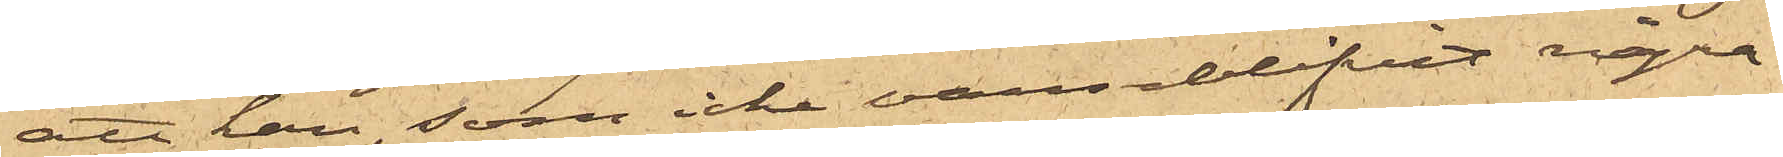att han, som icke varseblifvit några
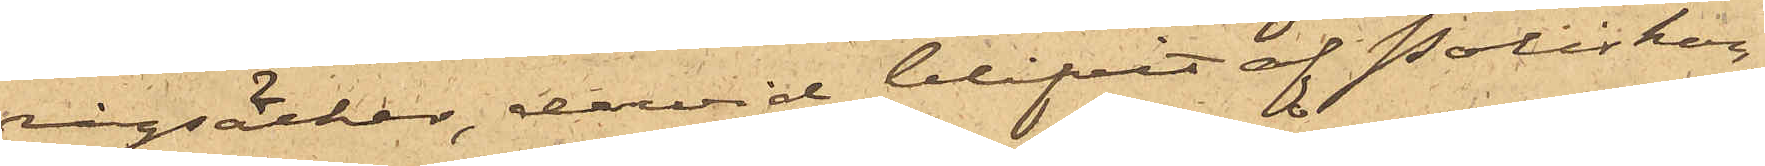rågsäckar, dervid blifvit af Poliskon¬
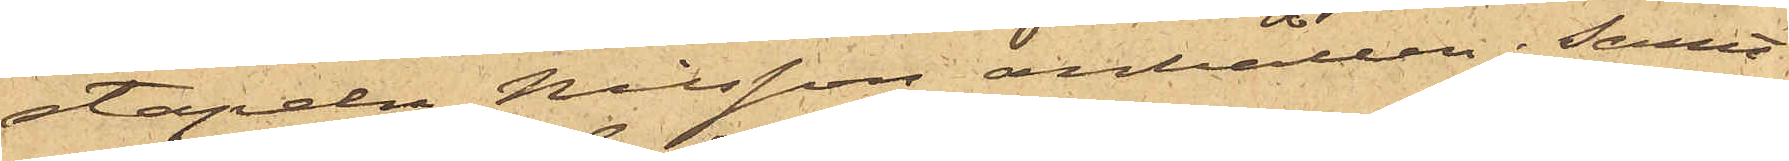stapeln Nilsson anhållen; samt
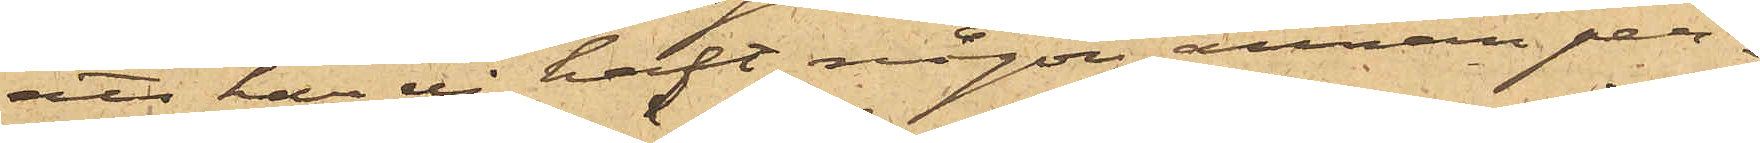att han ej haft någon annan per¬
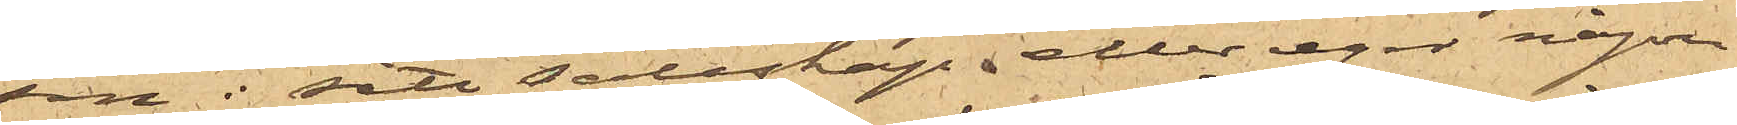son i sitt sällskap, eller eger någon
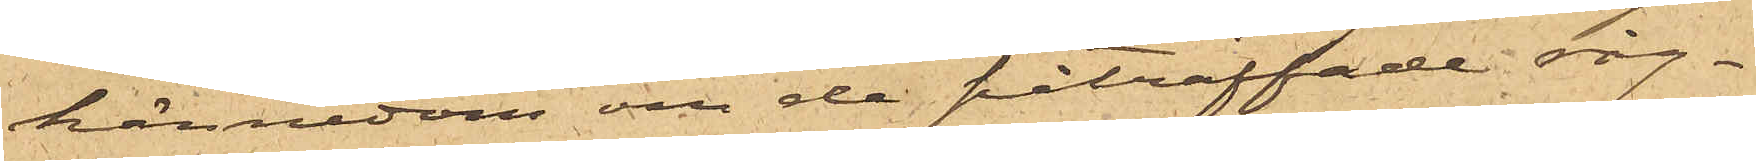kännedom om de påträffade råg¬
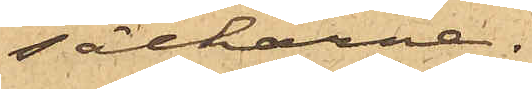säckarne.
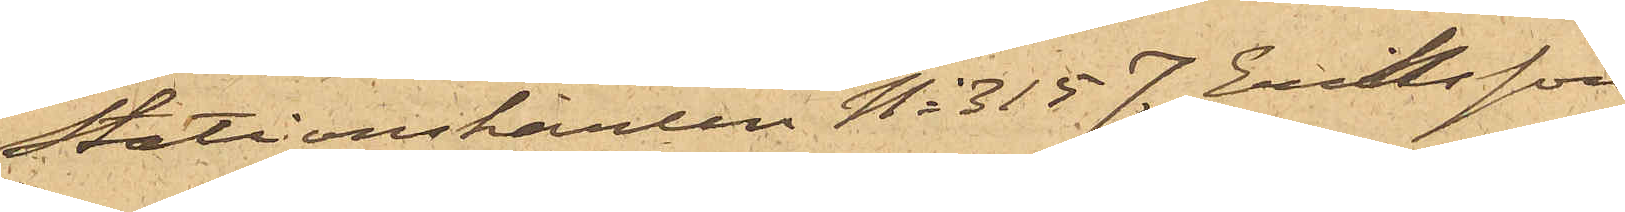Stationskarlen No 315 J. Eriksson
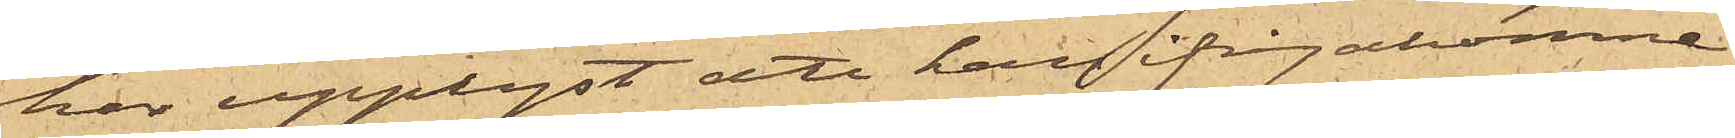har upplyst att han ifrågakomne
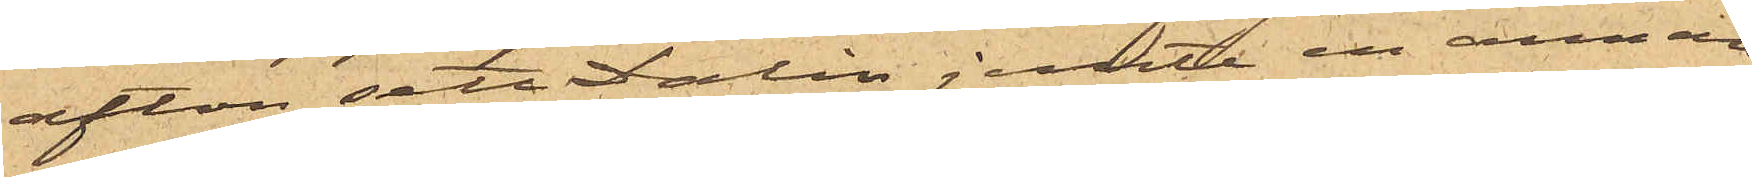afton sett Dalin jemte en annan
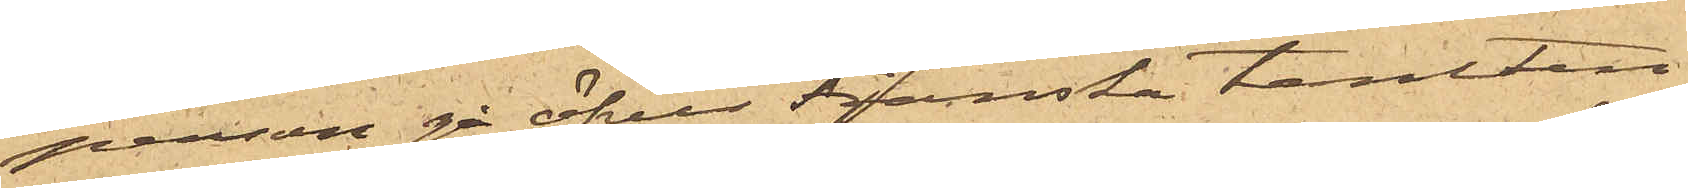person gå öfver Franska tomten
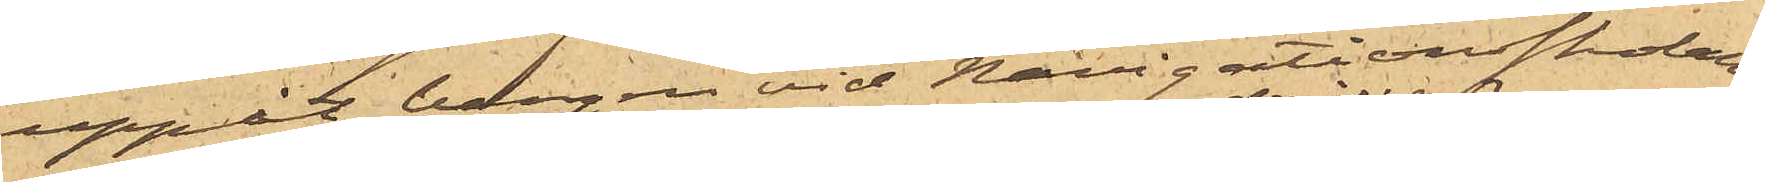uppåt bergen vid Navigationsskolan;
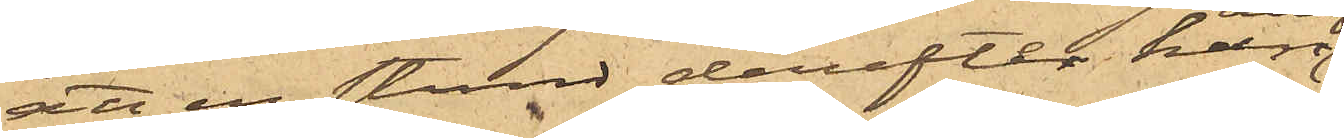att en stund derefter han
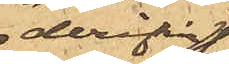derifrån
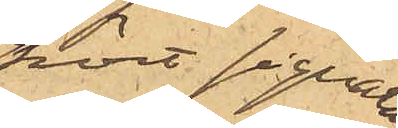hört signaler
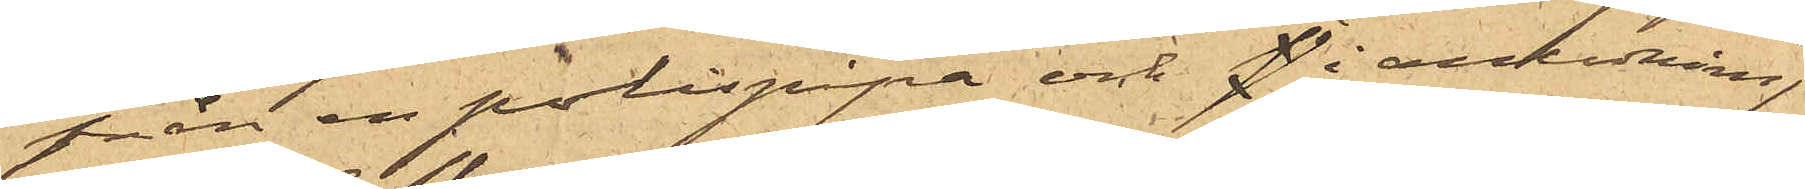från en polispipa och p i anledning
